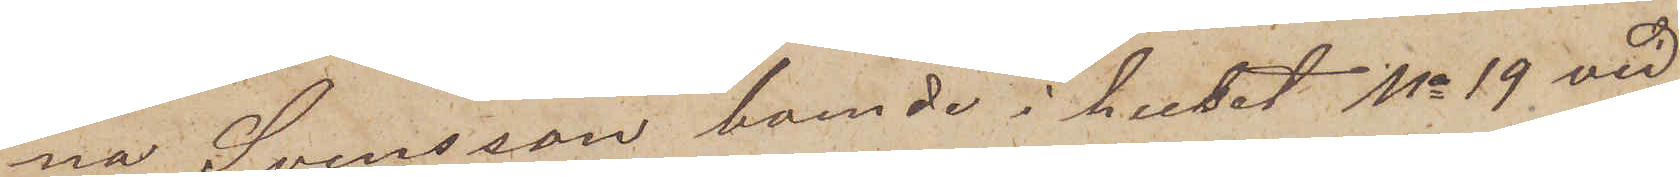na Svensson, boende i huset No 19 vid
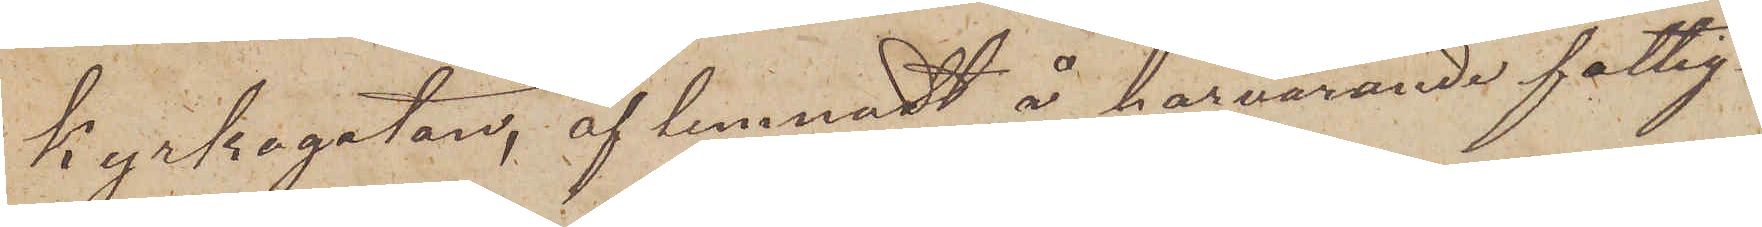kyrkogatan, aflemnadt å härvarande fattig¬
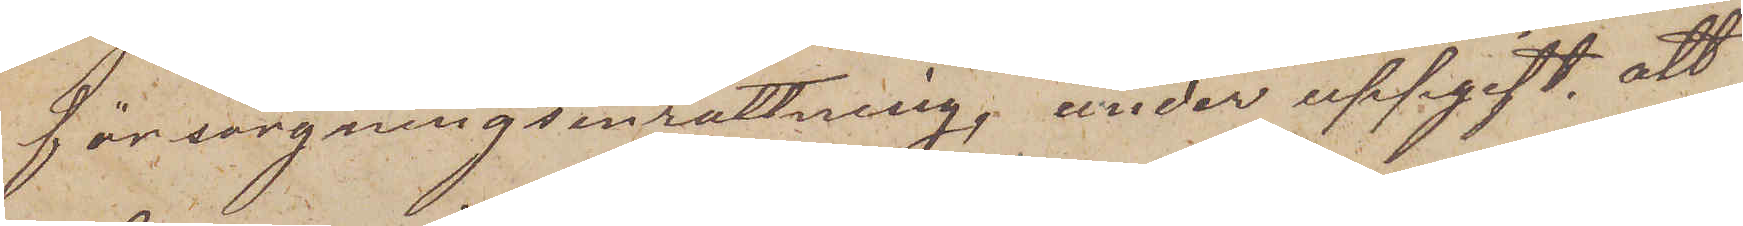försöngningsinrättning, under uppgift, att
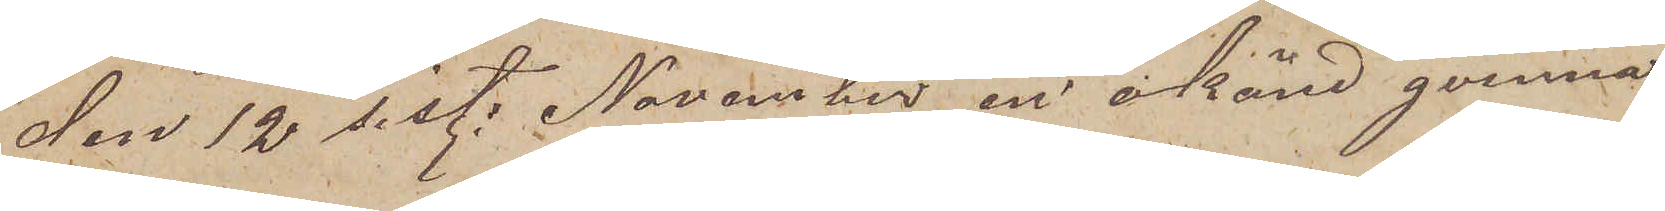den 12 sist. November, en okänd qvinna,
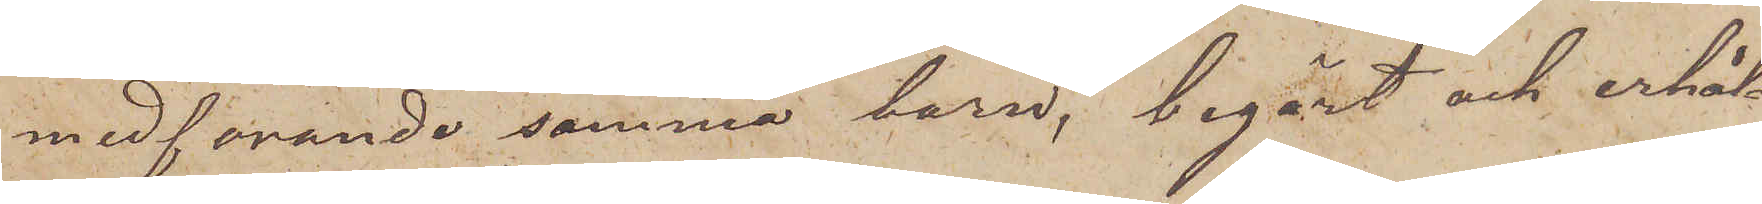medförande samma barn, begärt och erhåll¬
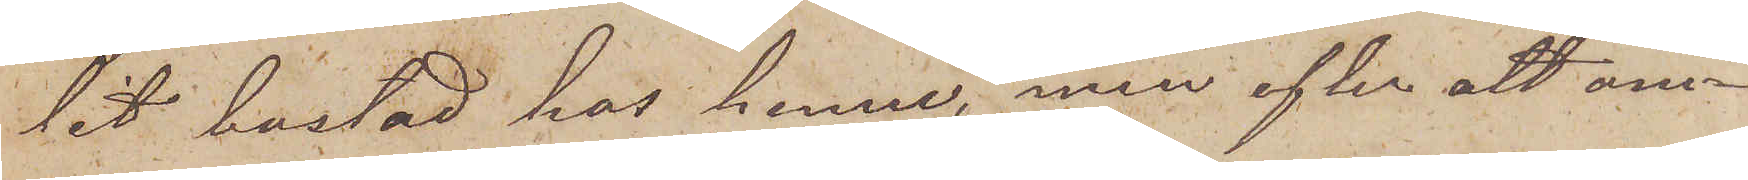lit bostad hos henne, men efter att om¬
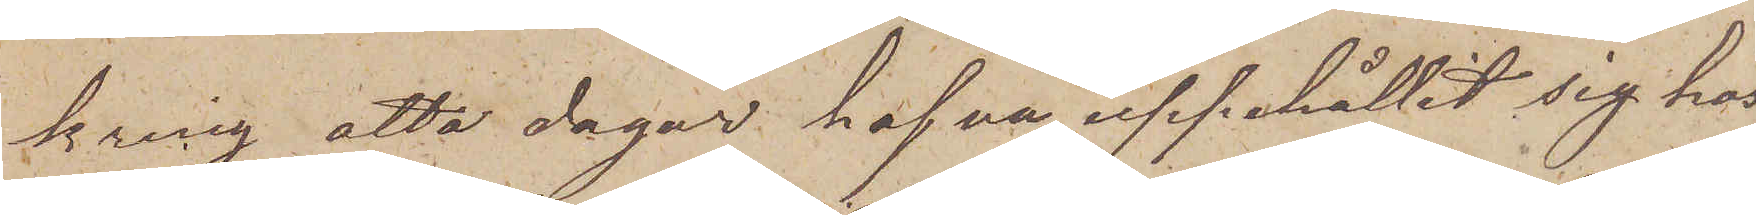kring åtta dagar hafva uppehållit sig hos
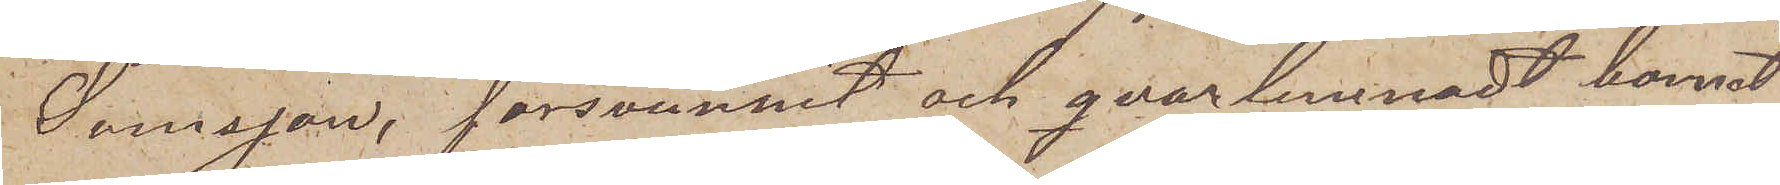Svensson, försvunnit och qvarlemnadt barnet
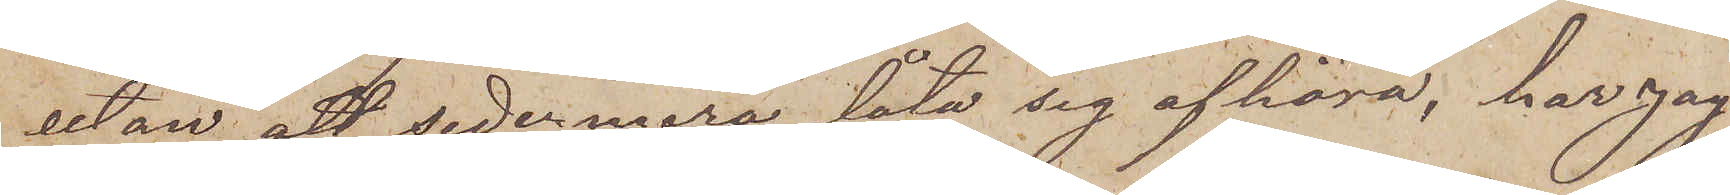utan att sedermera låta sig afhöra, har jag
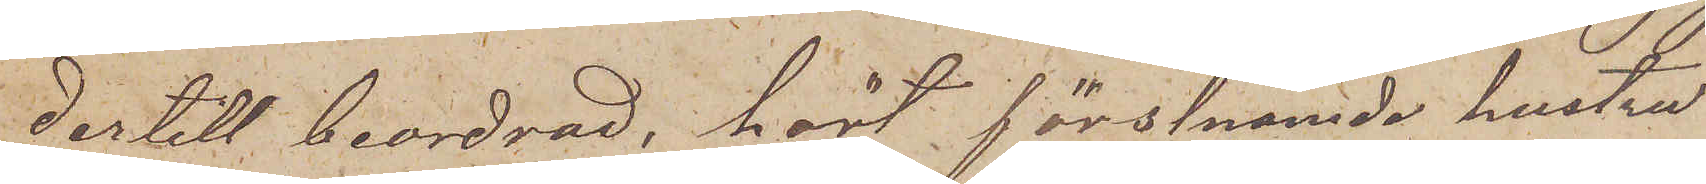dertill beordrad, hört förstnämde hustru
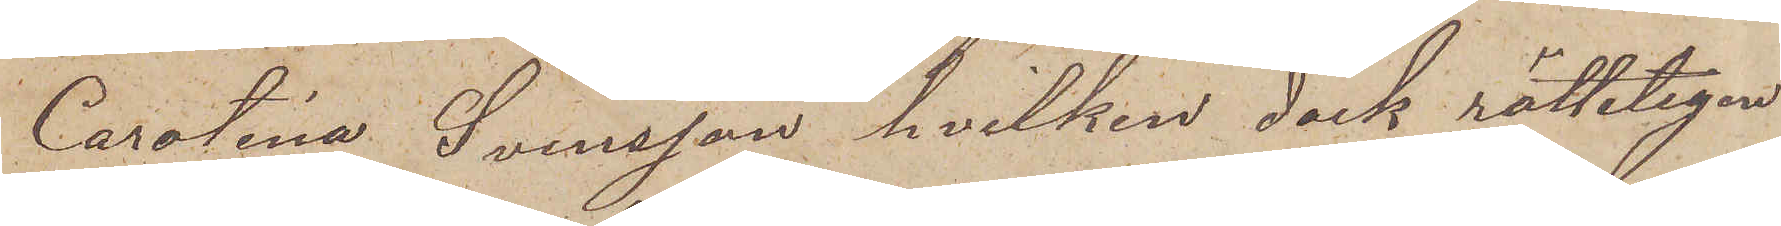Carolina Svensson, hvilken dock rätteligen
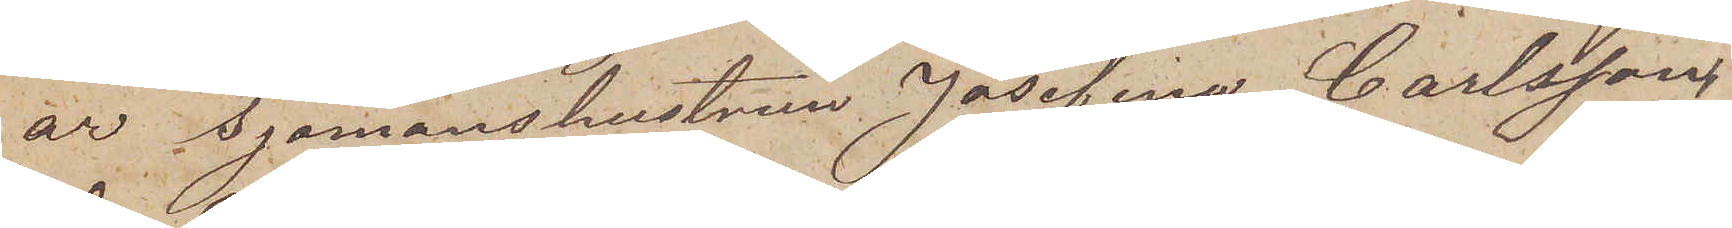är Sjömanshustrun Josefina Carlssons
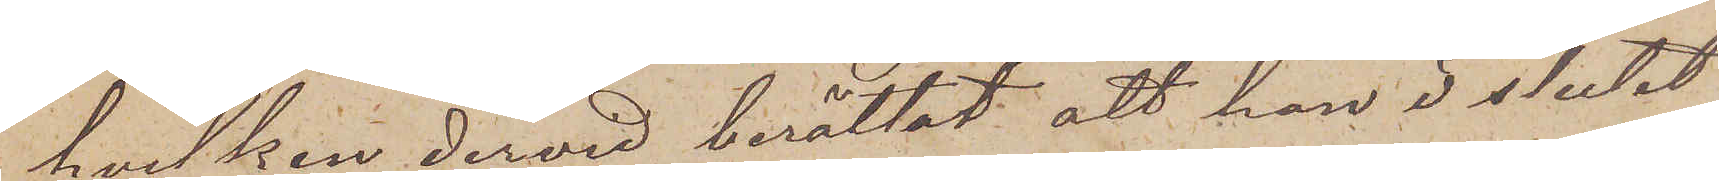hvilken dervid berättat, att hon i slutet
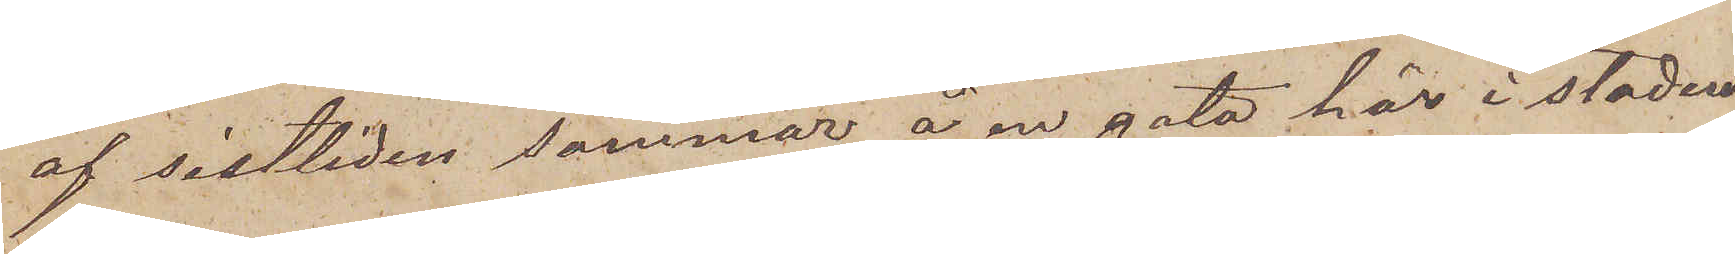af sistliden sommar å en gata här i staden
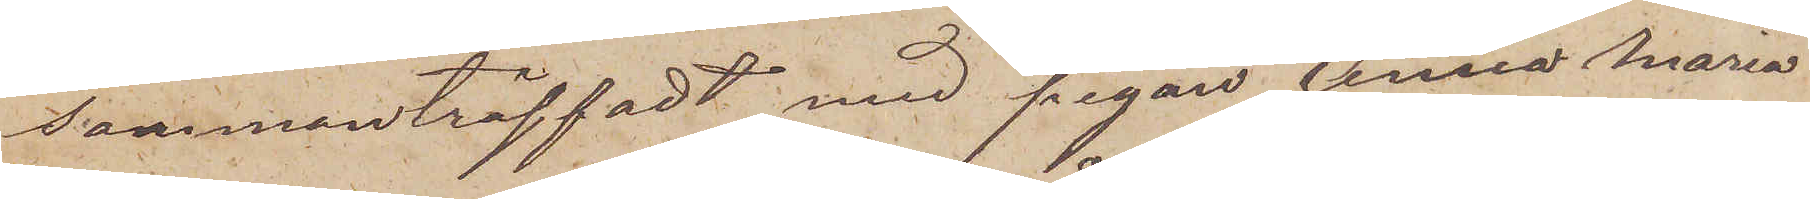sammanträffadt med pigan Anna Maria
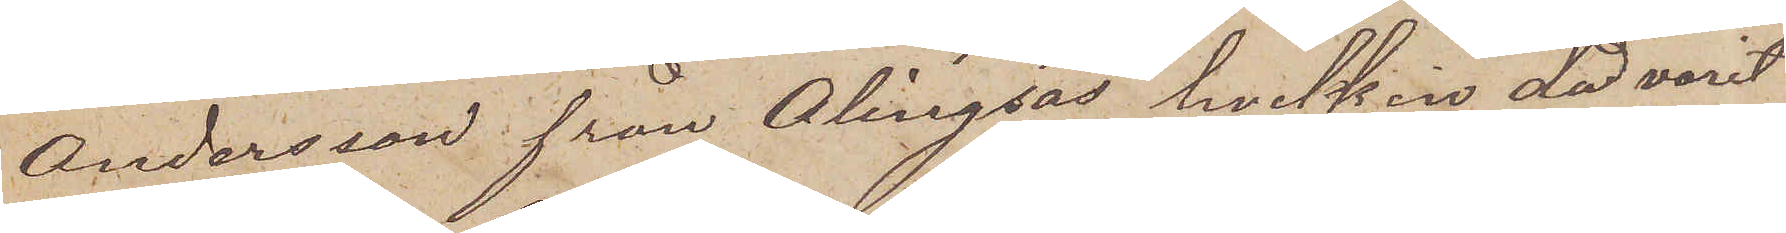Andersson från Ölingsås hvilken då varit
